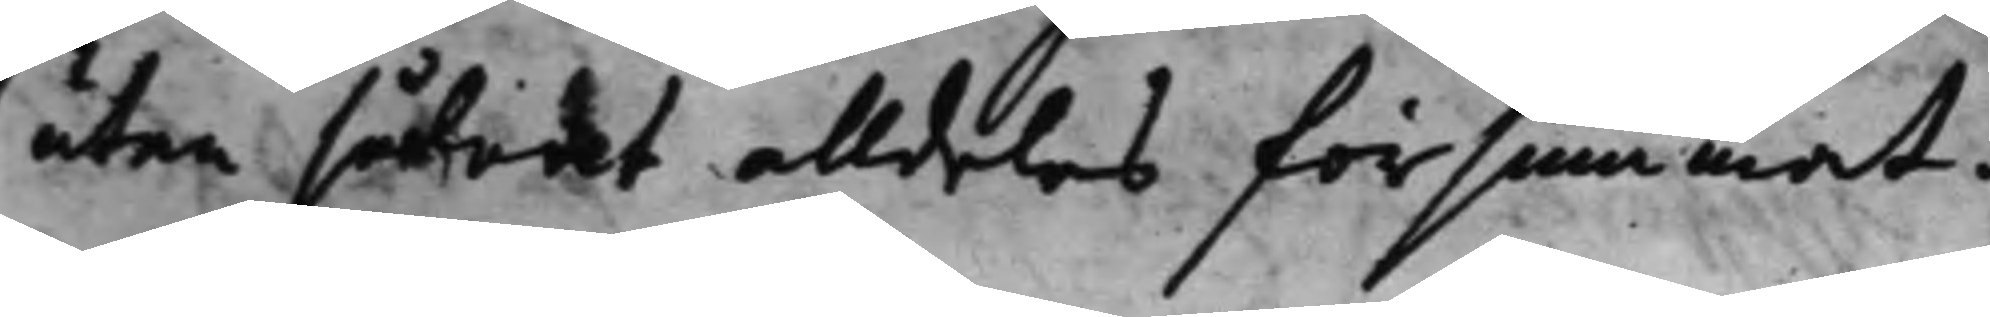utan såledet alldeles försummat.
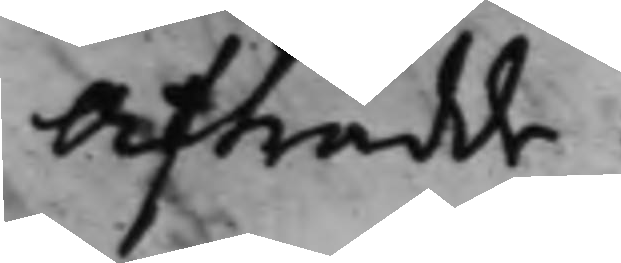Afträdde.
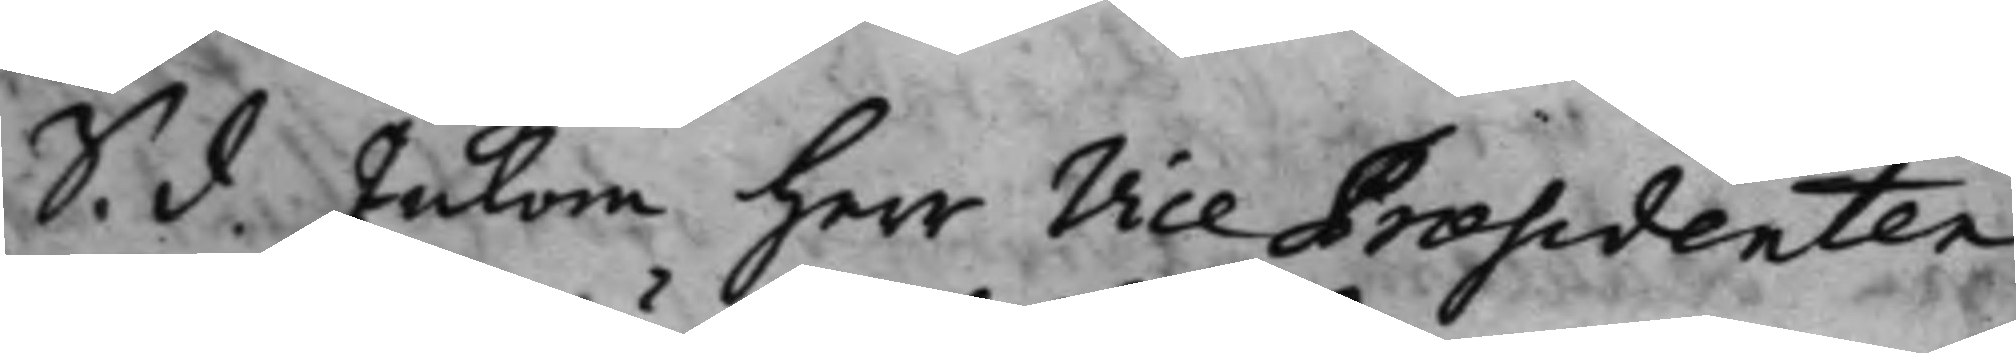S. d. Inkom Herr Vice Praesidenten 
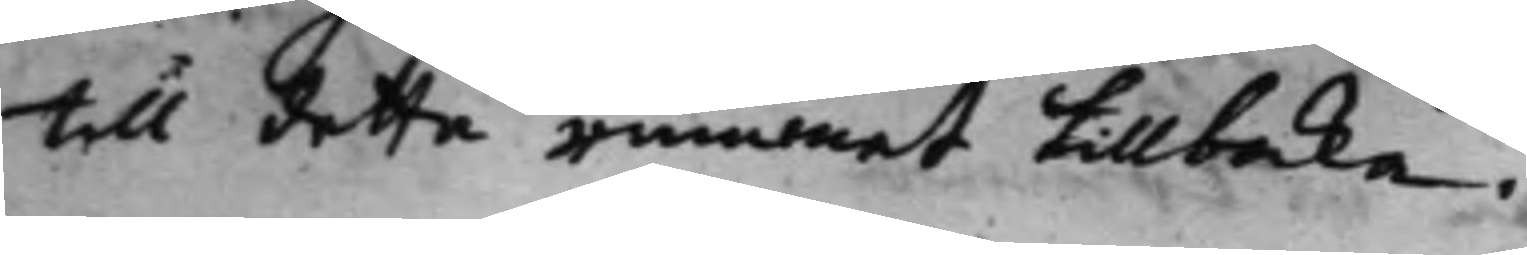till detta rummet tillbaka.
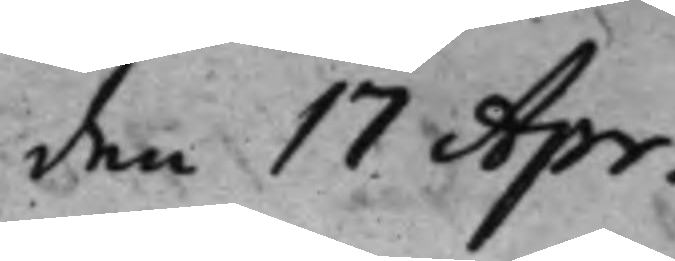den 17 Apr. 
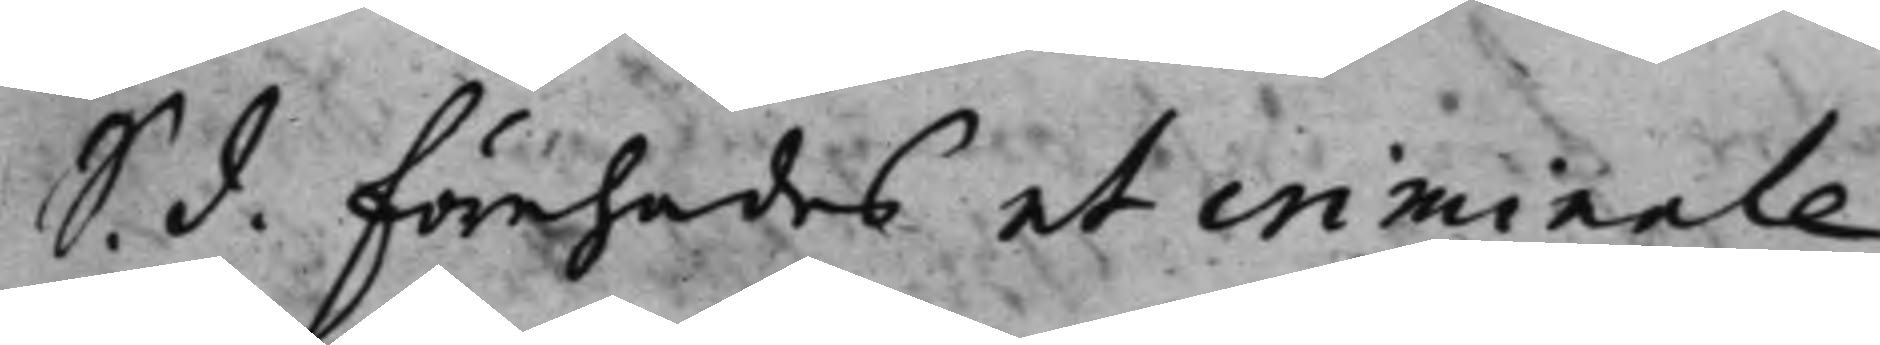S. d. Förehades et criminale. 
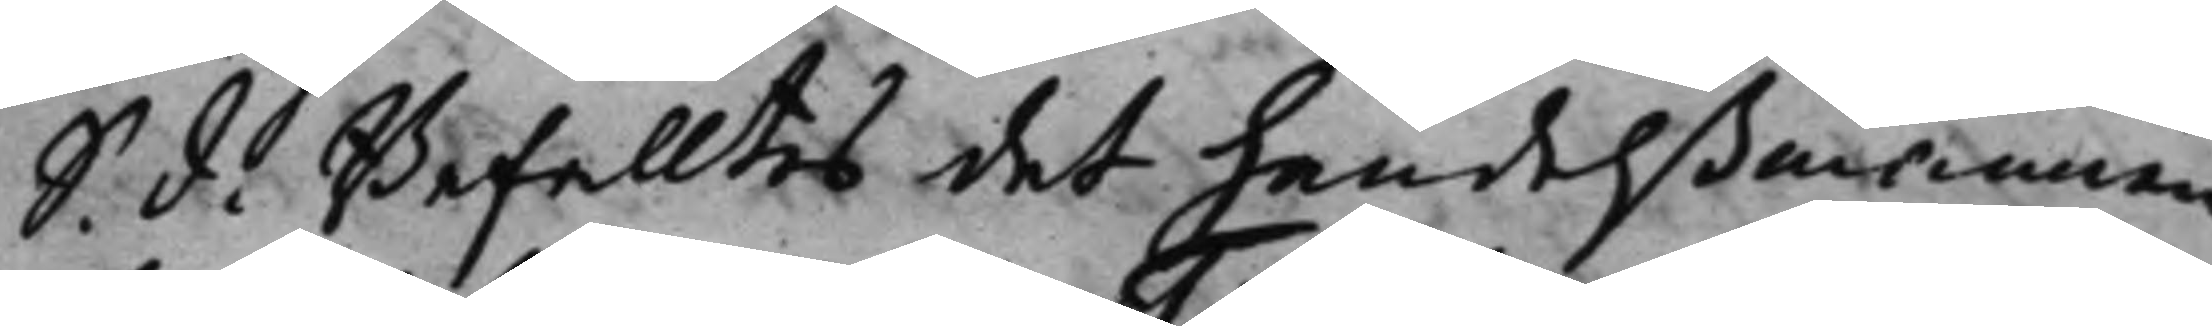S. d. Befalltes det handelßmannen 
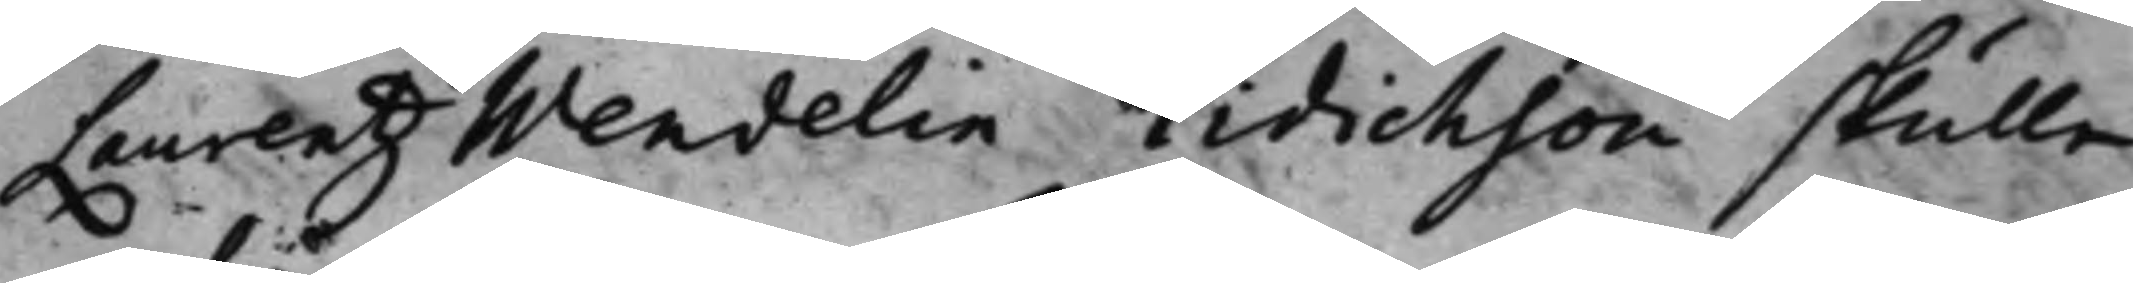Laurentz Wendelin Tidichson skulle
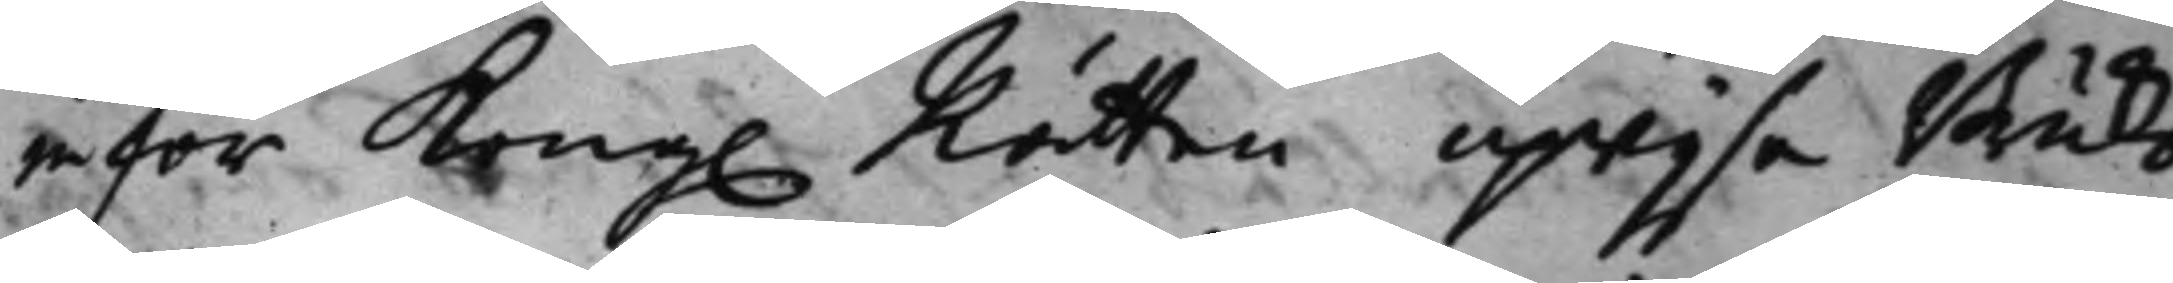inför Kong. Rätten upwijsa Bruks¬ 
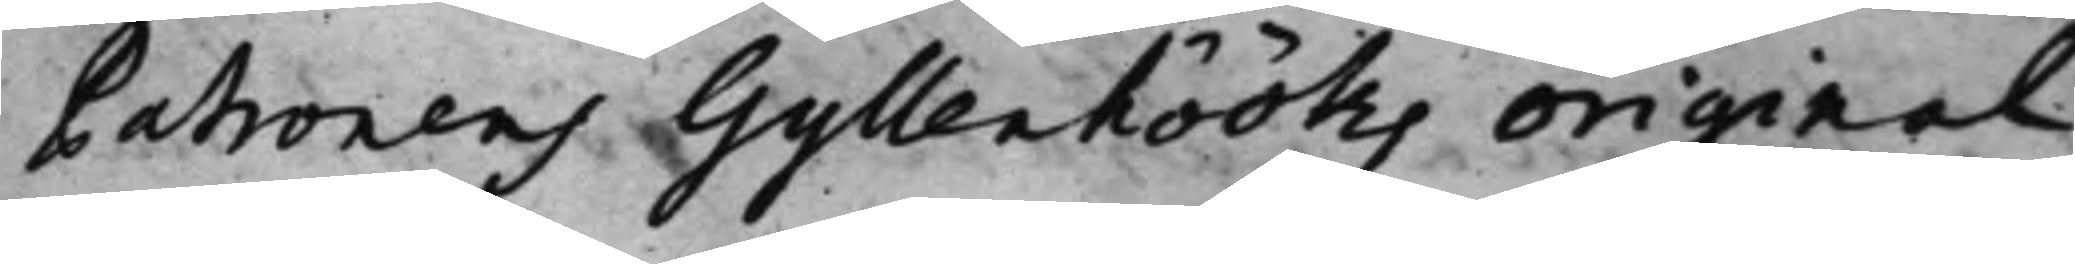Patronens Gyllenhööks original
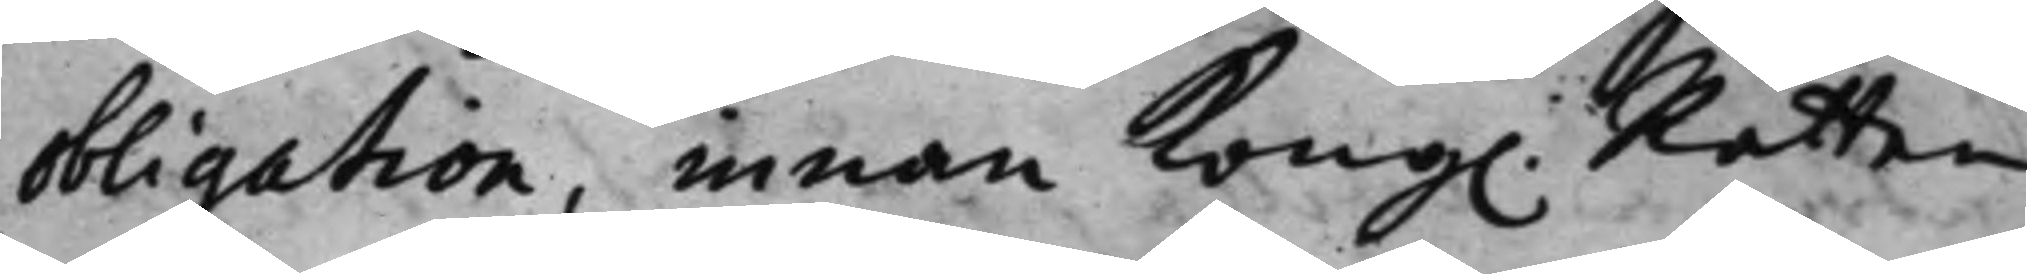obligation, innan Kong. Rätten 
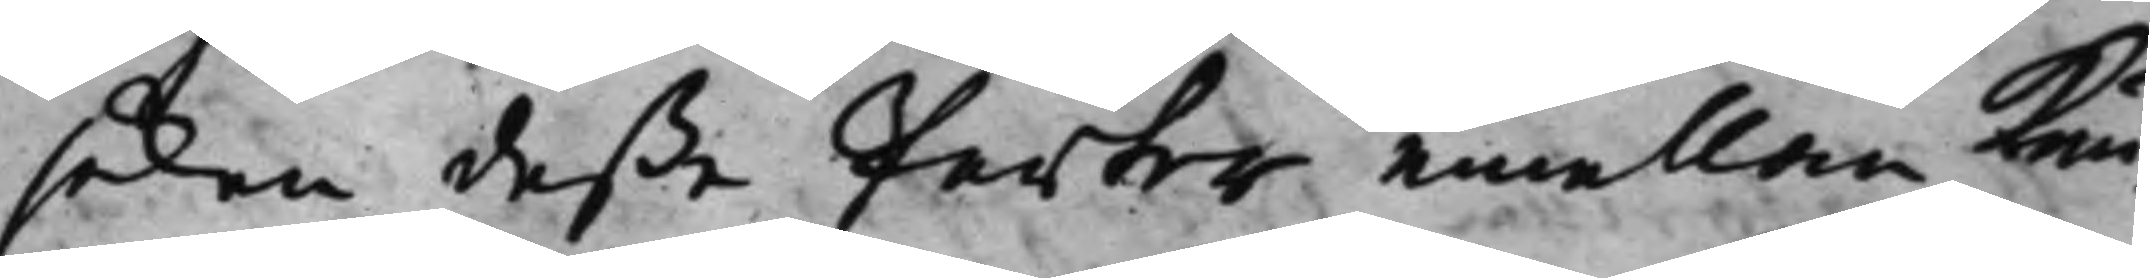saken deße Parter emellan kun¬
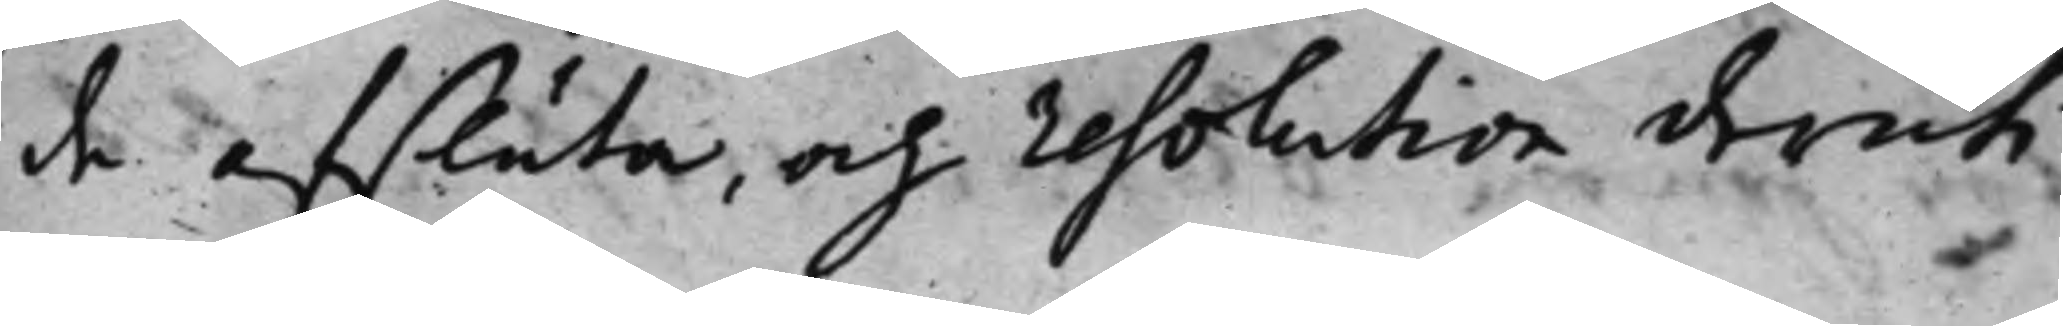de afsluta, och resolution deruti
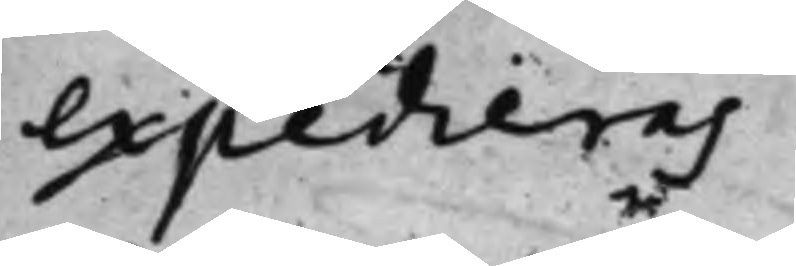expedieras.
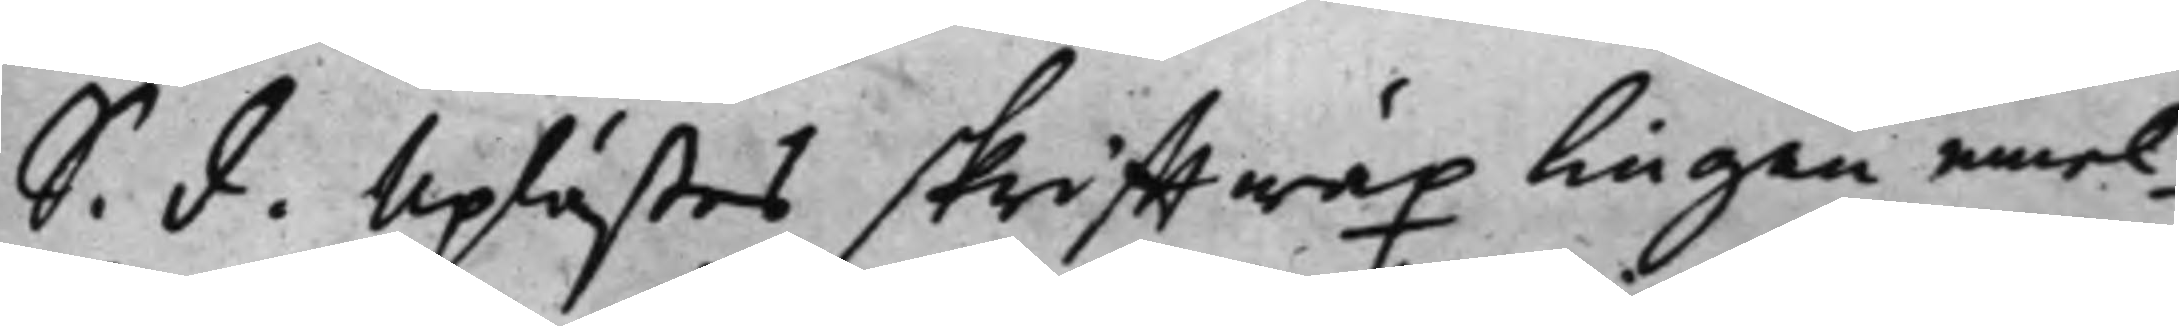S. d. Uplästes skrifftwäxlingen emel¬ 
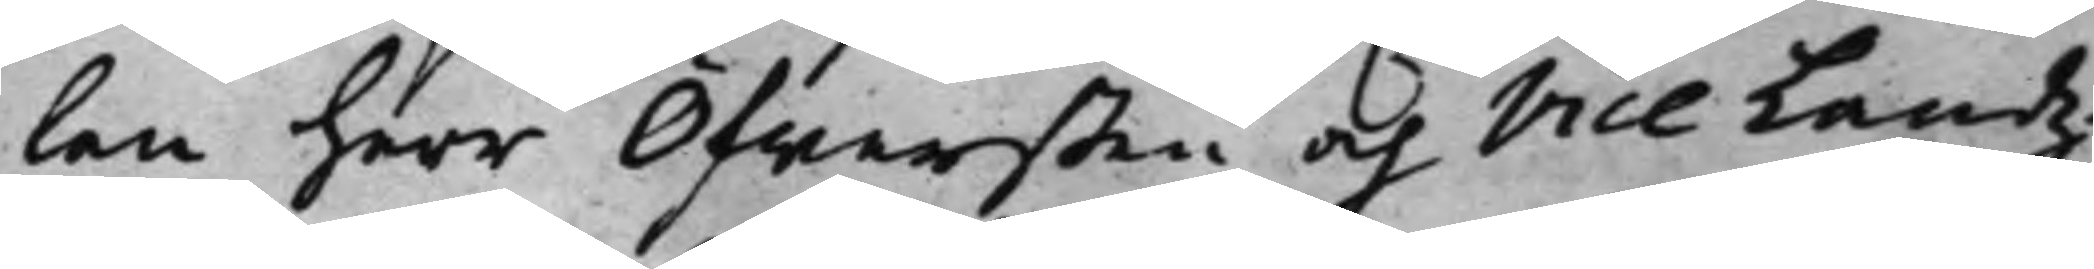len herr Öfwersten och Vice Landz¬
